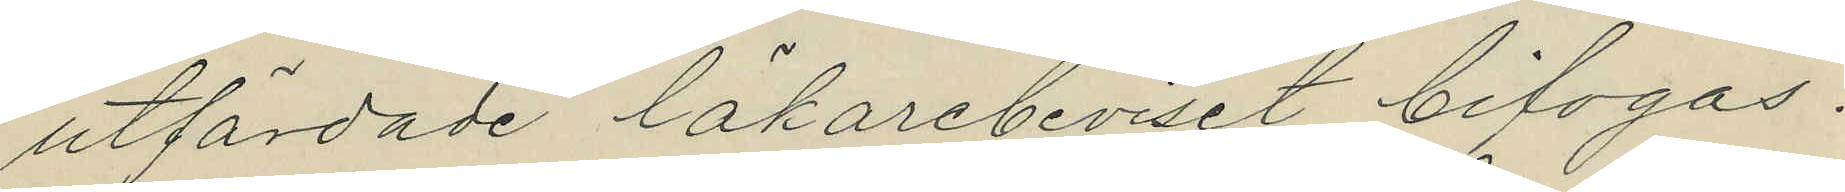utfärdade läkarebeviset bifogas.
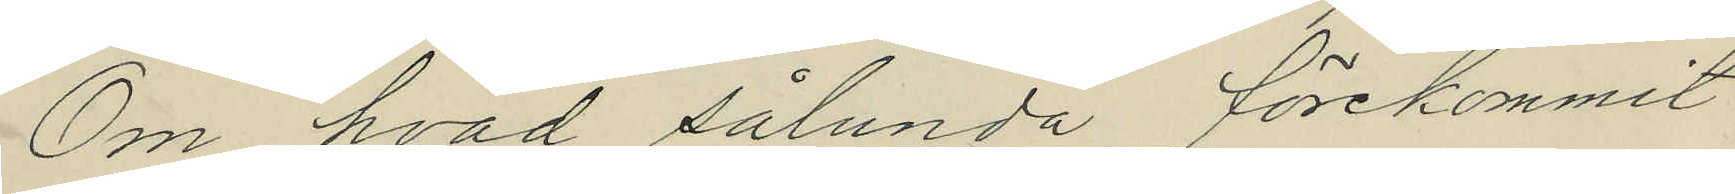Om hvad sålunda förekommit
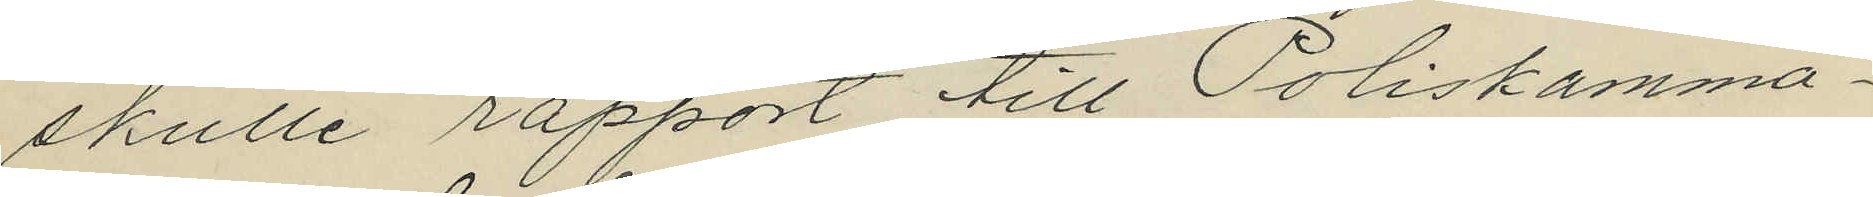skulle rapport till Poliskamma¬
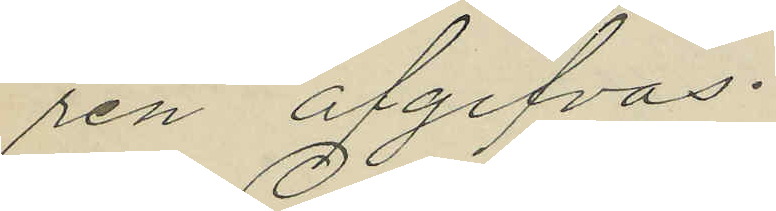ren afgifvas.
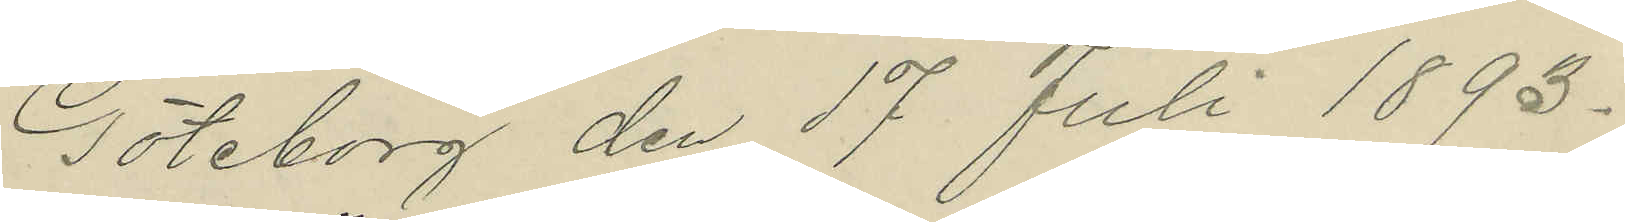Göteborg den 17 Juli 1893.
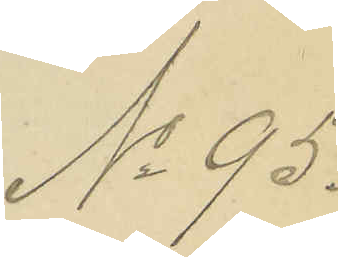No 95.
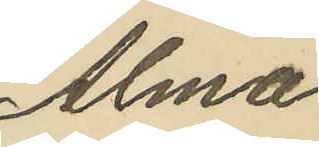Alma
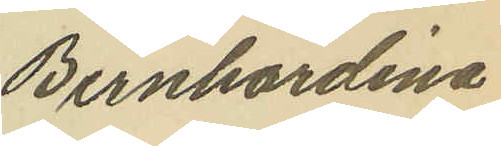Bernhardina
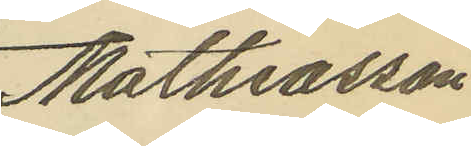Mathiasson
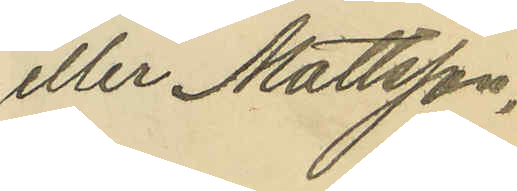eller Mattsson,
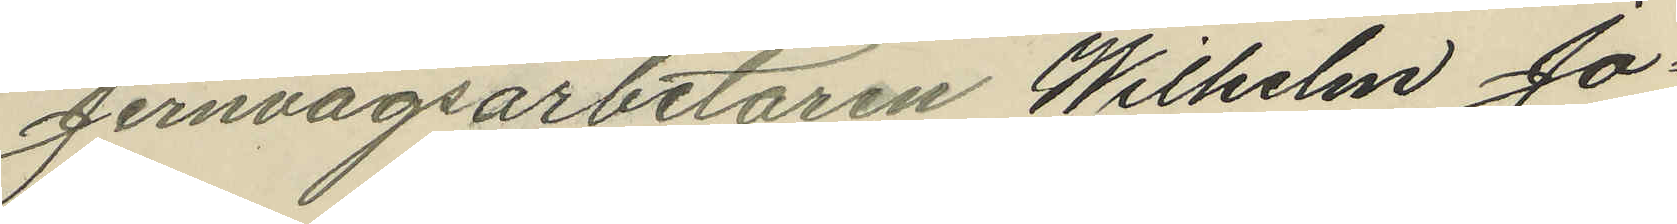Jernvägsarbetaren Wilhelm Jo¬
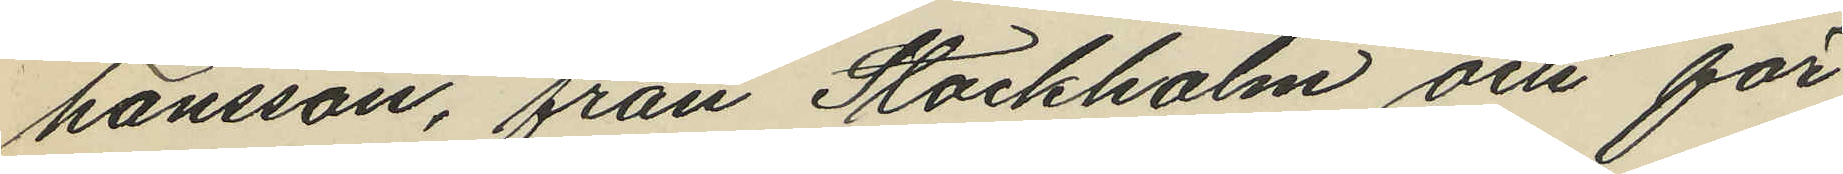hansson, från Stockholm och för
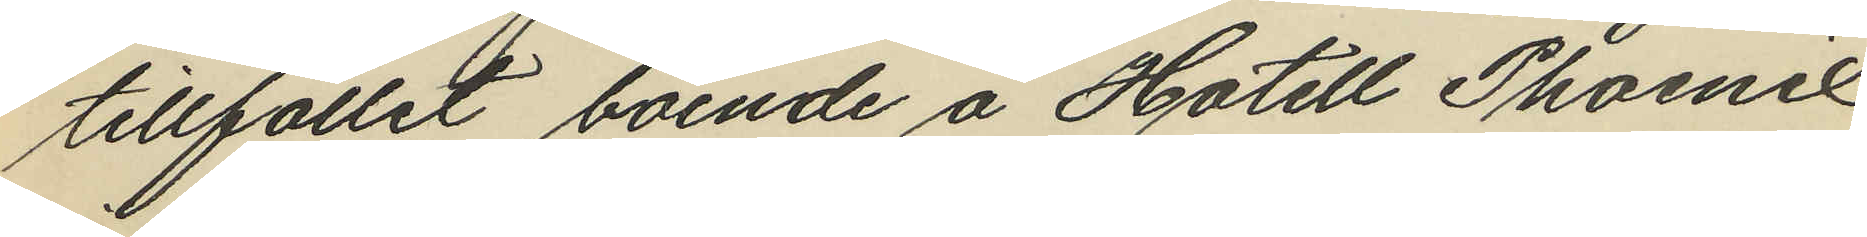tillfället boende å Hotell Phoenix
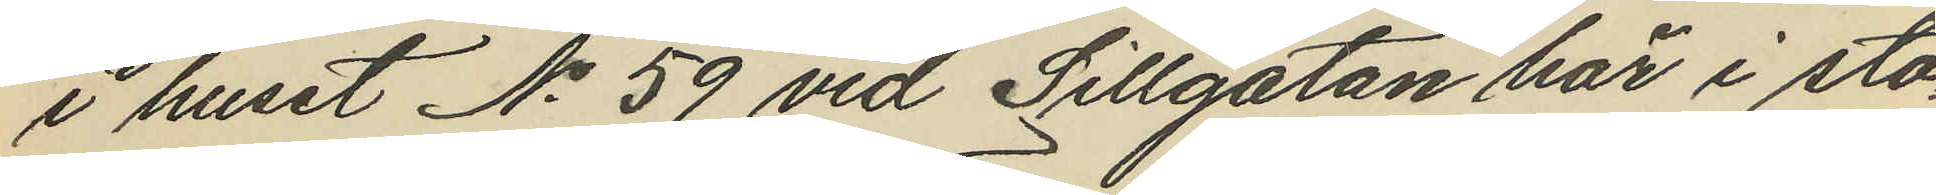i huset No 59 vid Sillgatan här i sta¬
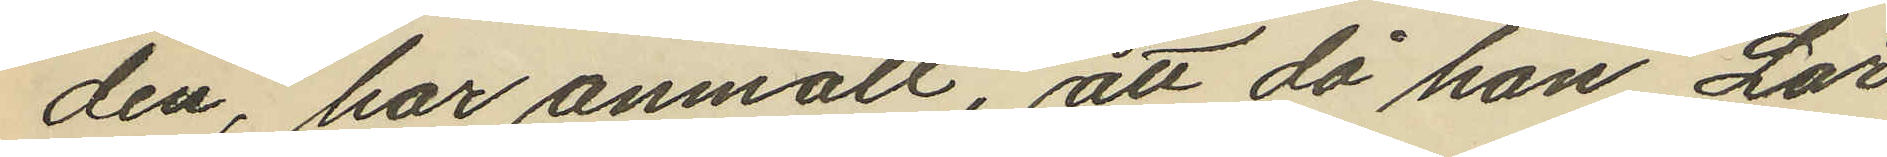den, har anmält, att då han Lör¬
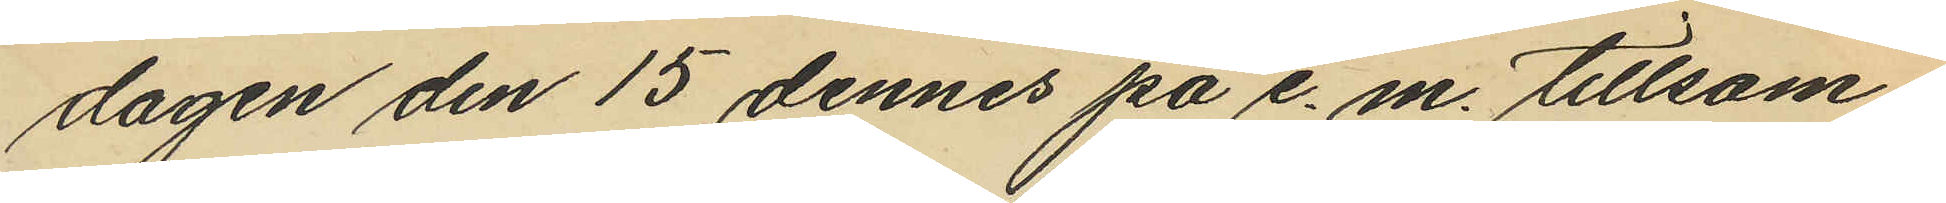dagen den 15 dennes på e. m. tillsam¬
